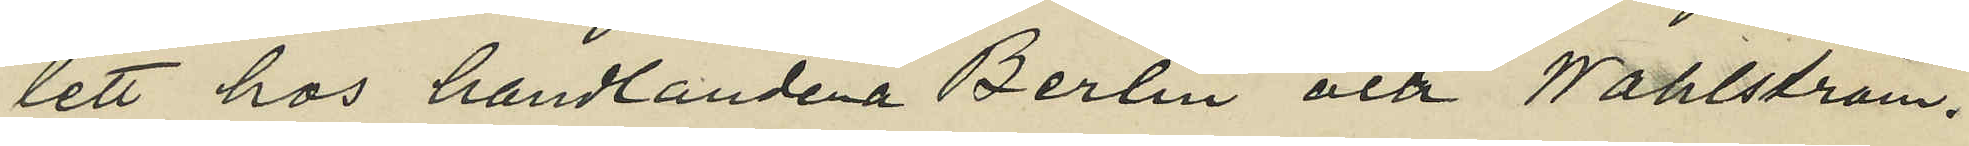lett hos handlandena Berlin och Wahlström.
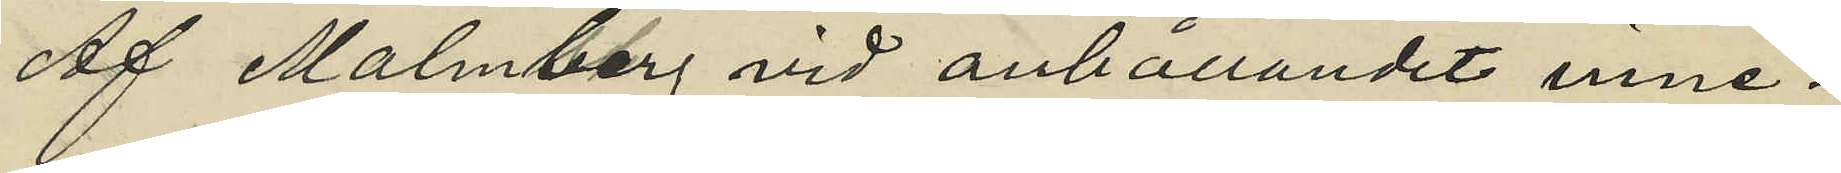Af Malmberg vid anhållandet inne¬
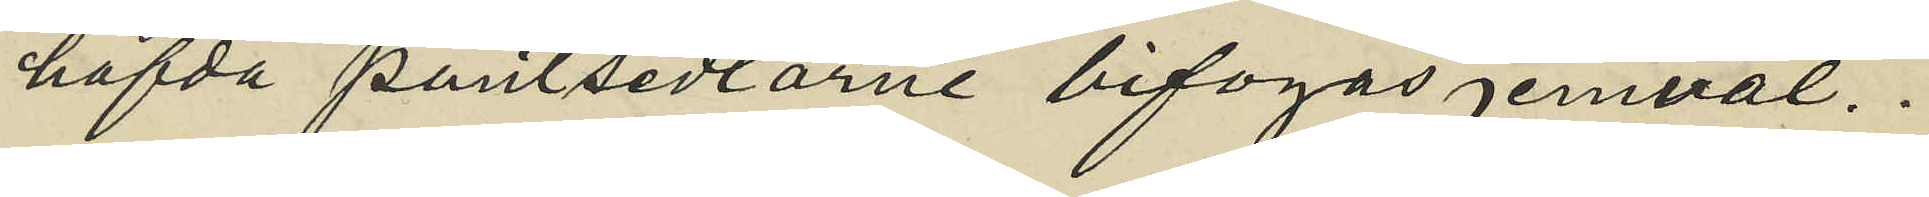hafda pantsedlarne bifogas jemväl.
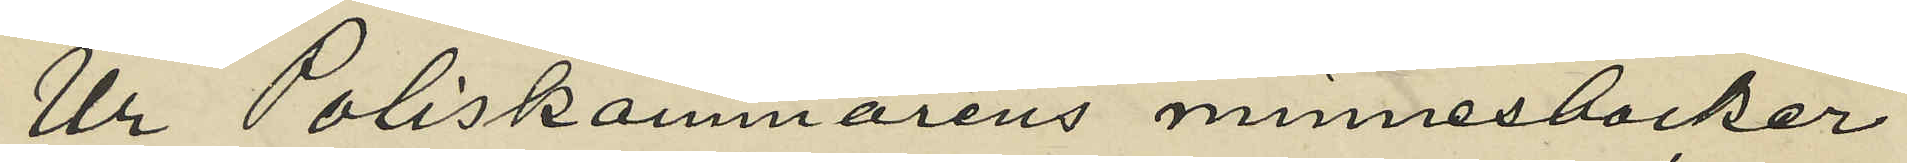Ur Poliskammarens minnesböcker
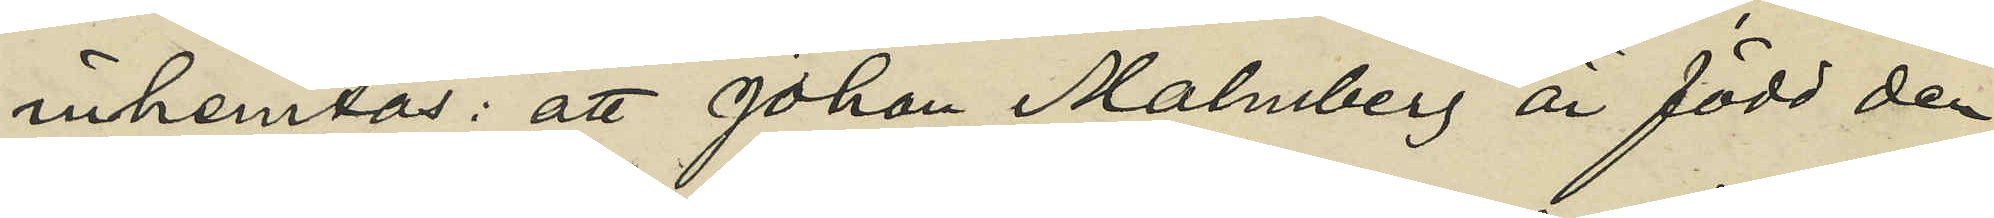inhemtas: att Johan Malmberg är född den
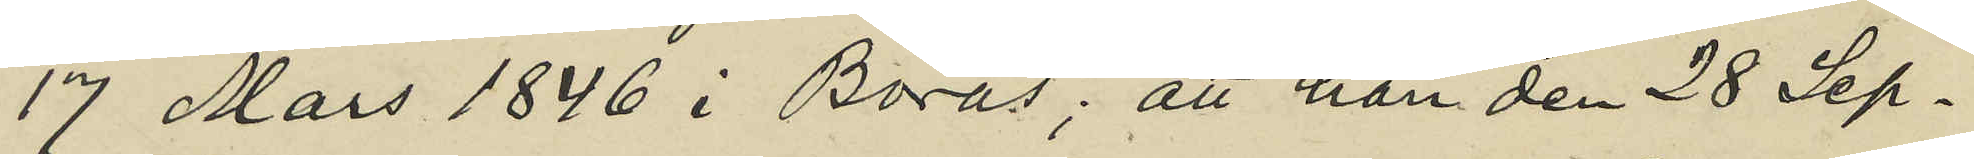17 Mars 1846 i Borås; att han den 28 Sep¬
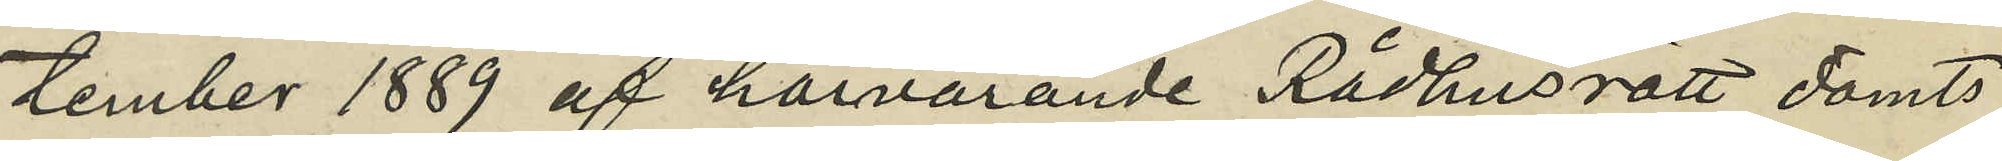tember 1889 af härvarande Rådhusrätt dömts
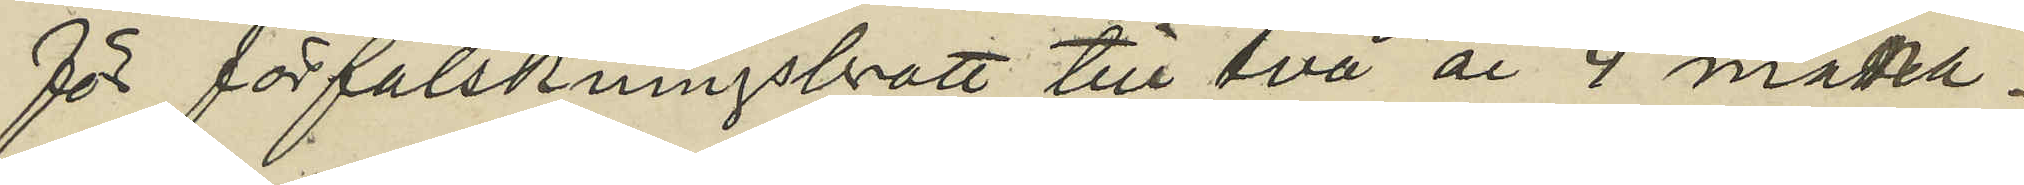för förfalskningsbrott till två år 4 måna¬
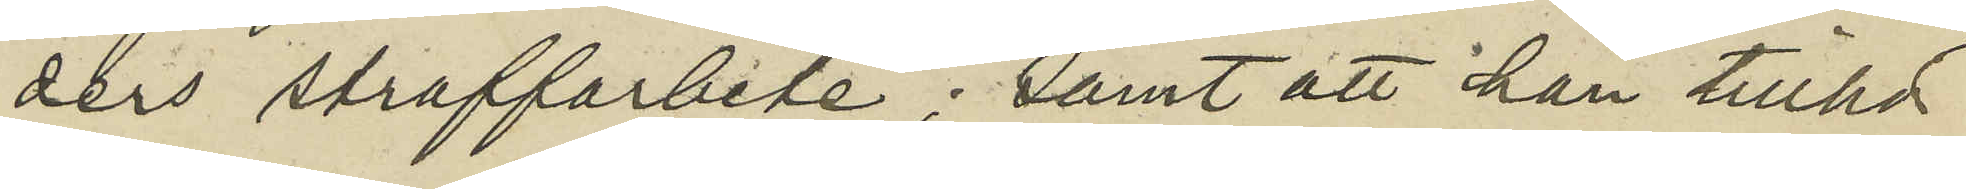ders straffarbete; samt att han tillhör
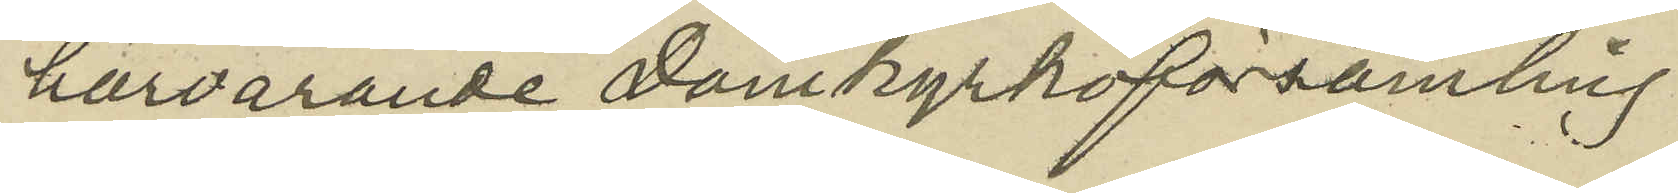härvarande Domkyrkoförsamling.
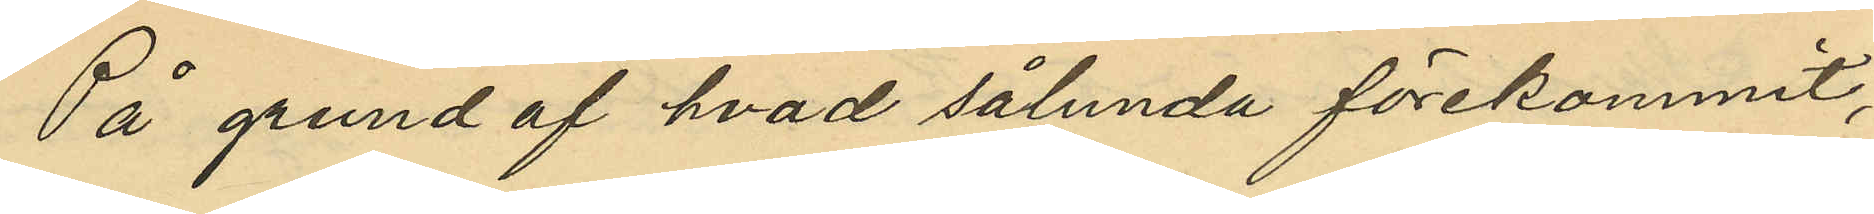På grund af hvad sålunda förekommit,
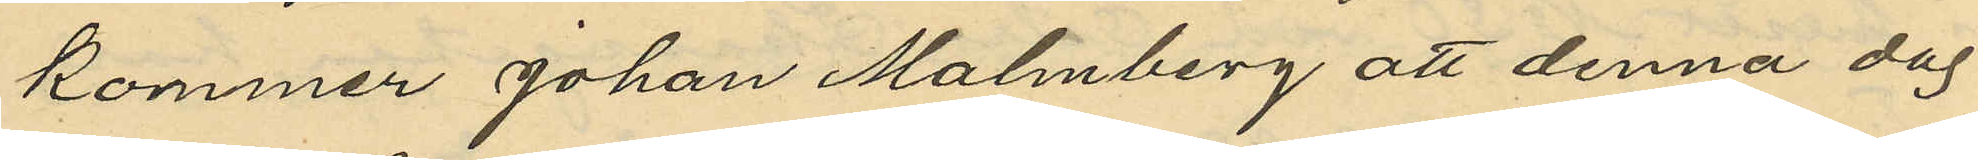kommer Johan Malmberg att denna dag
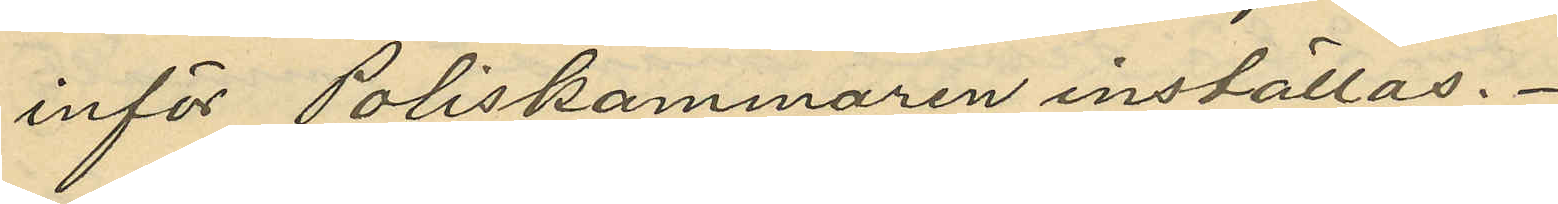inför Poliskammaren inställas.
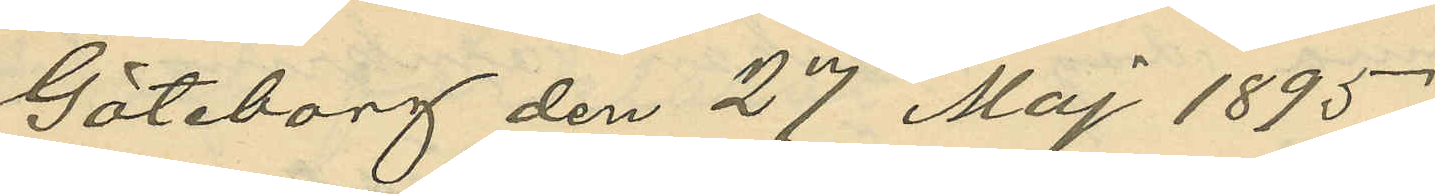Göteborg den 27 Maj 1895.
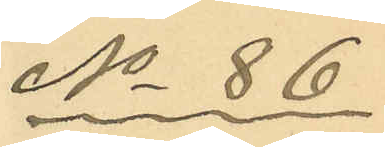No 86
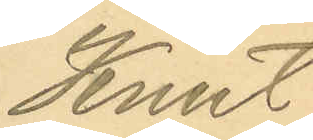Knut
